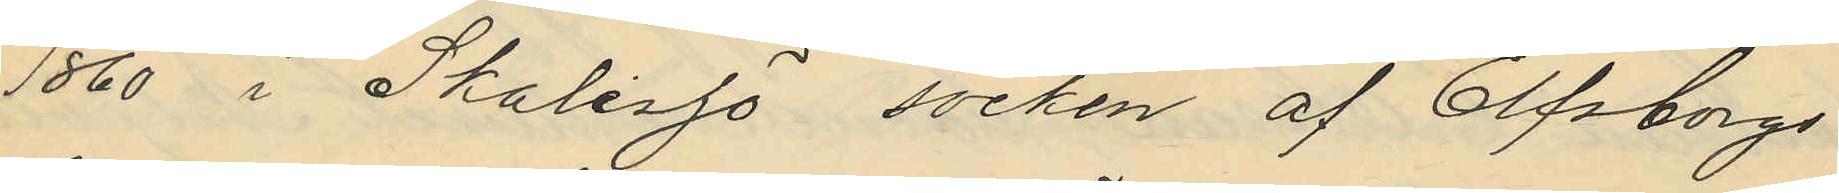1860 i Skalesjö socken af Elfsborgs
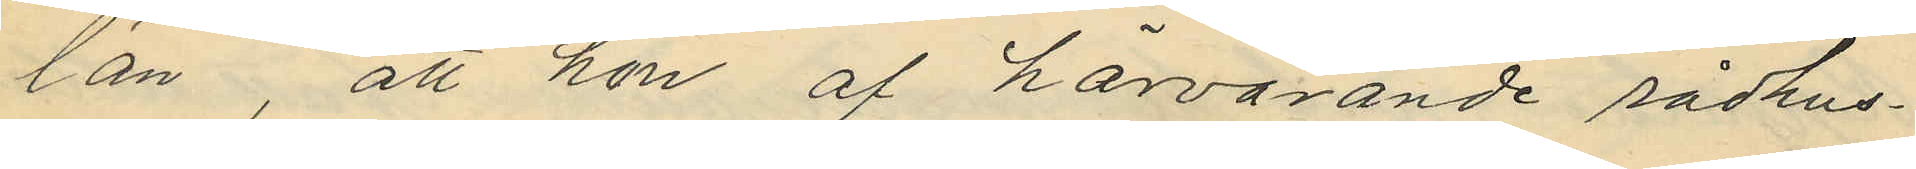län, att hon af härvarande rådhus¬
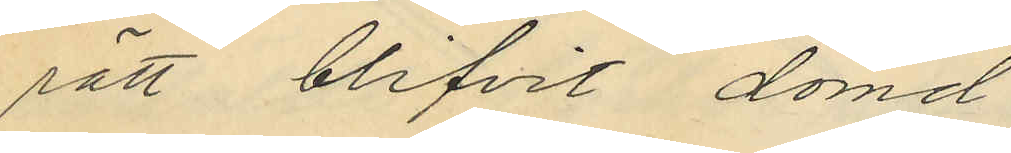rätt blifvit dömd
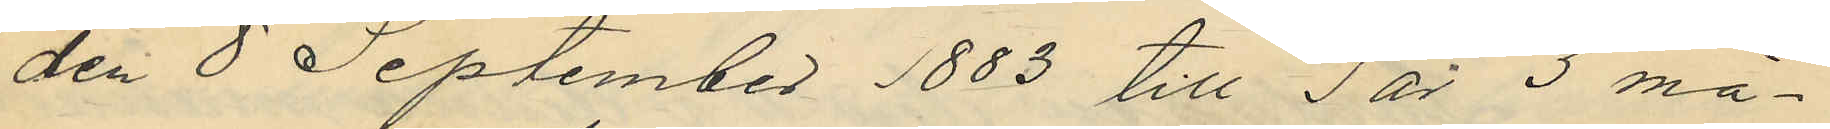den 8 September 1883 till 1 år 3 må¬
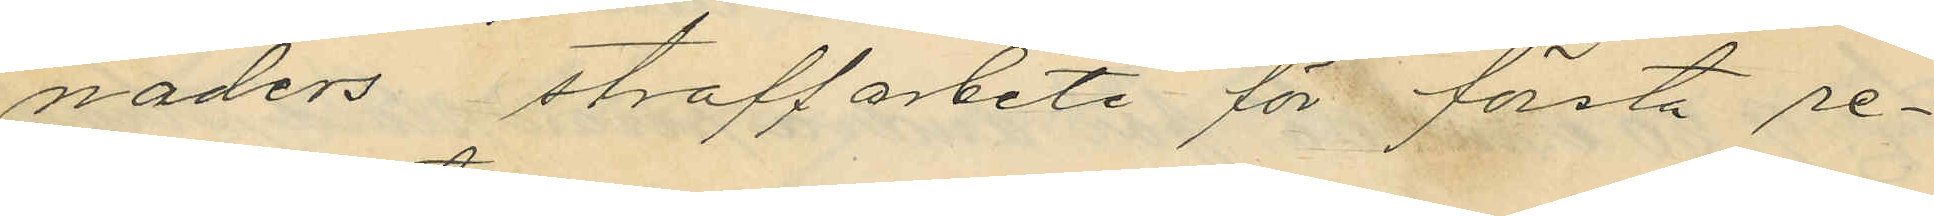naders straffarbete för första re¬
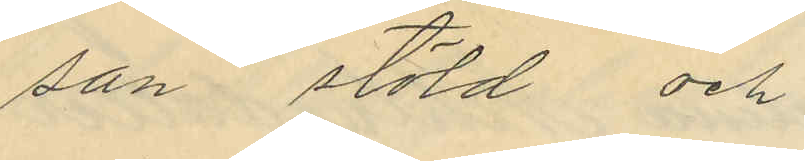san stöld och
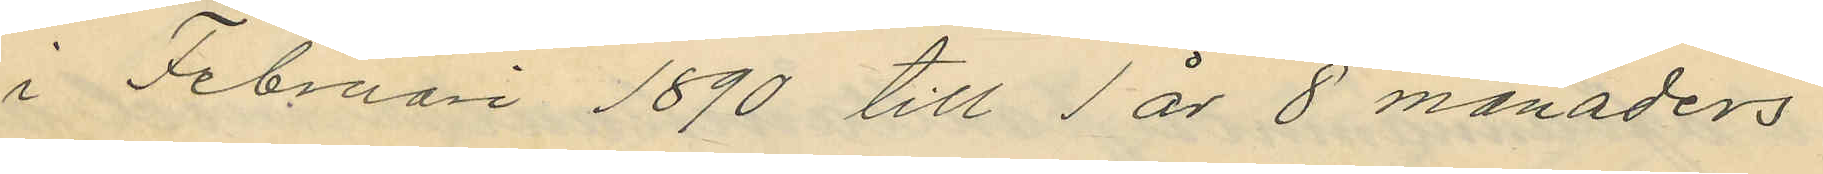i Februari 1890 till 1 år 8 månaders
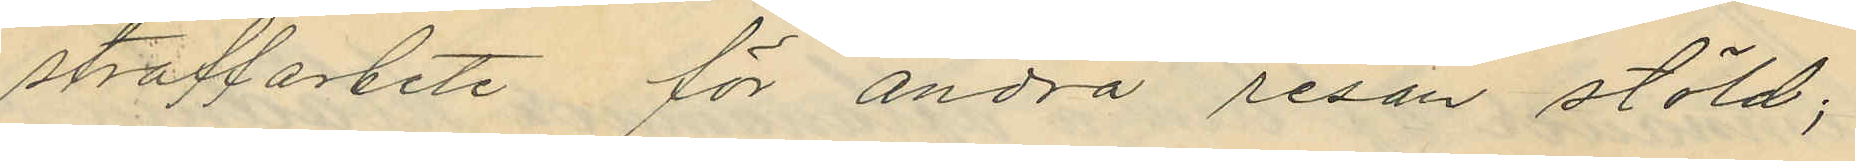straffarbete för andra resan stöld;
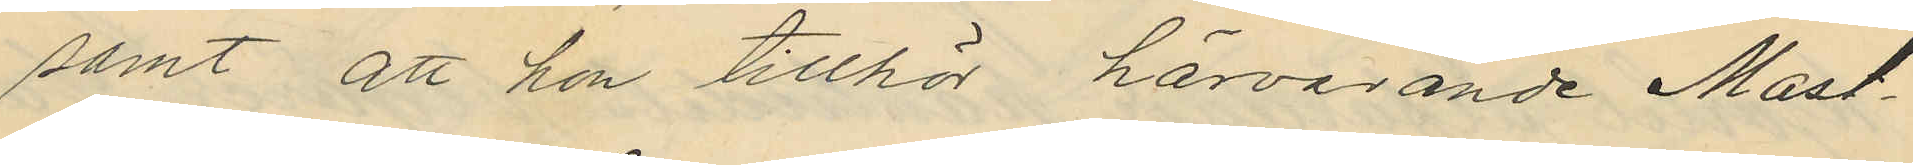samt att hon tillhör härvarande Mast¬
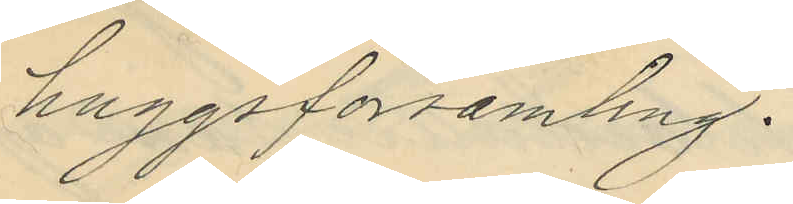huggsförsamling.
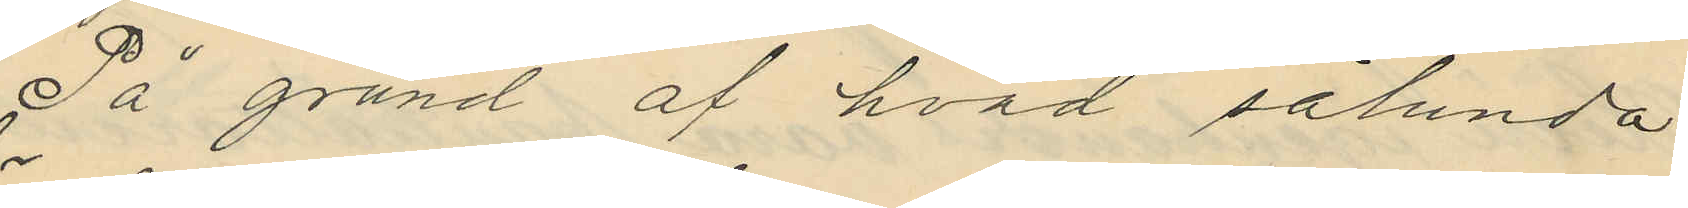På grund af hvad sålunda
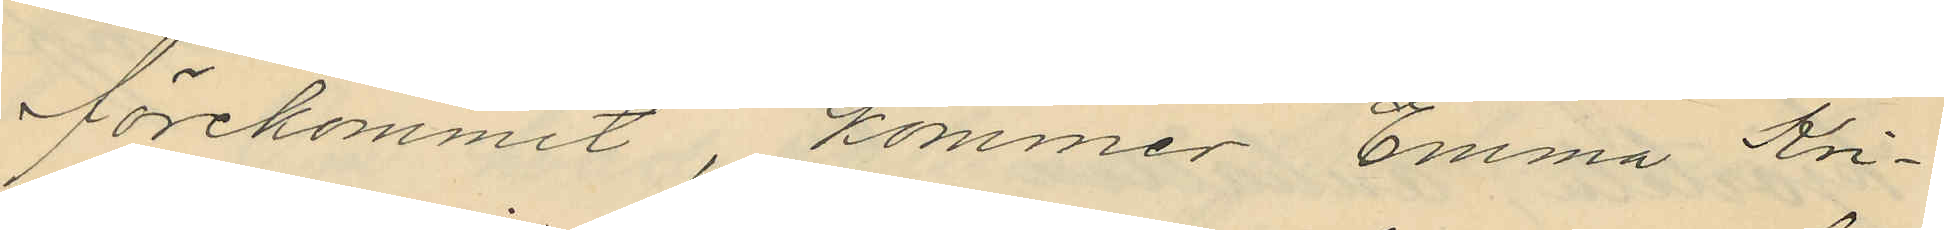förekommit, kommer Emma Kri¬
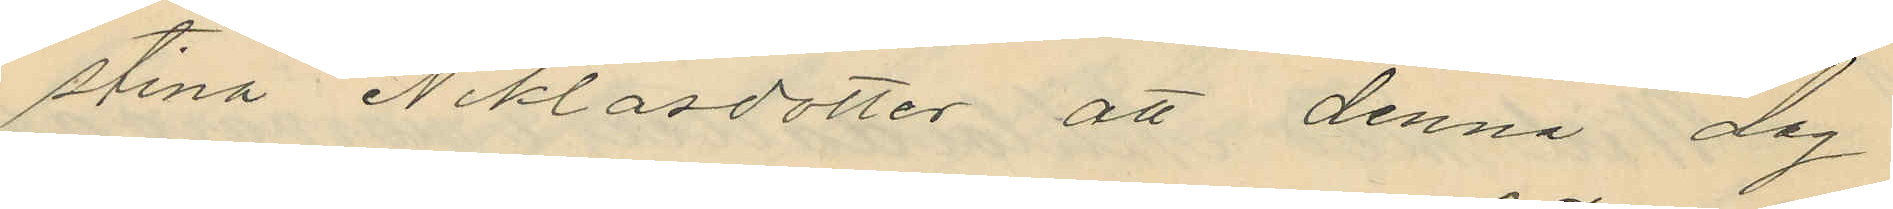stina Niklasdotter att denna dag
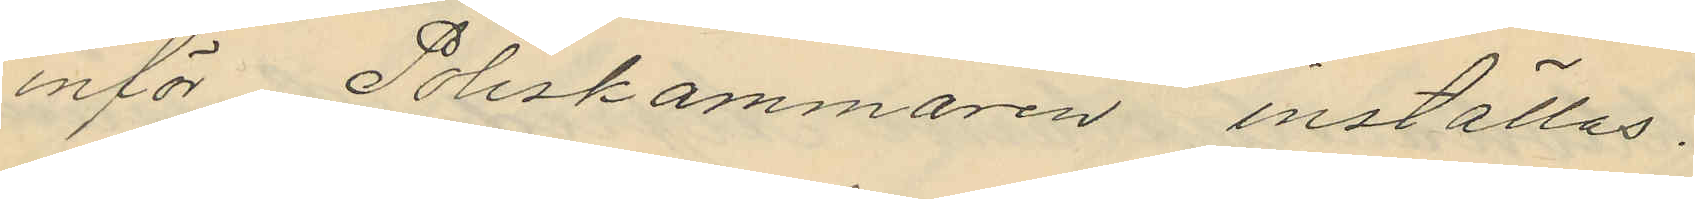inför Poliskammaren inställas.
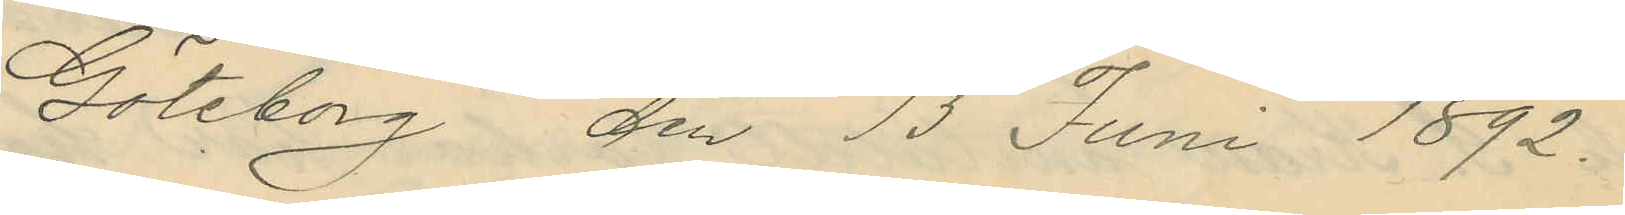Göteborg den 13 Juni 1892.
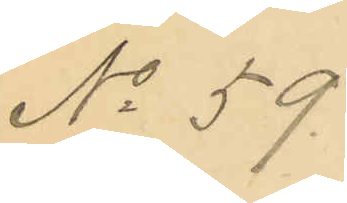No 59.
